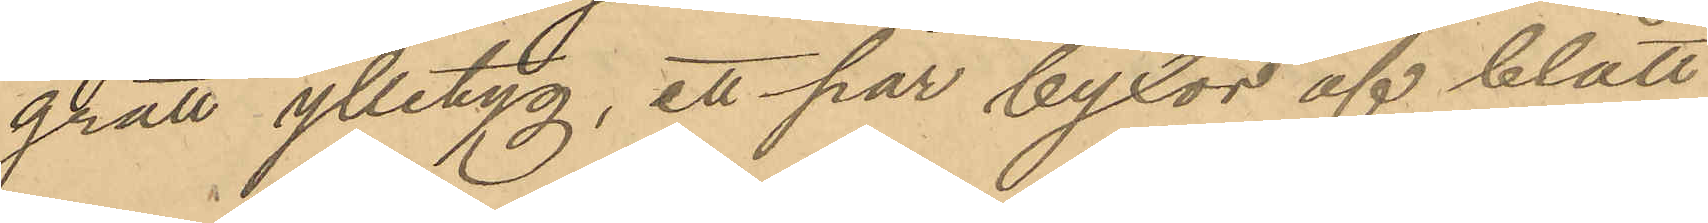grått ylletyg, ett par byxor af blått
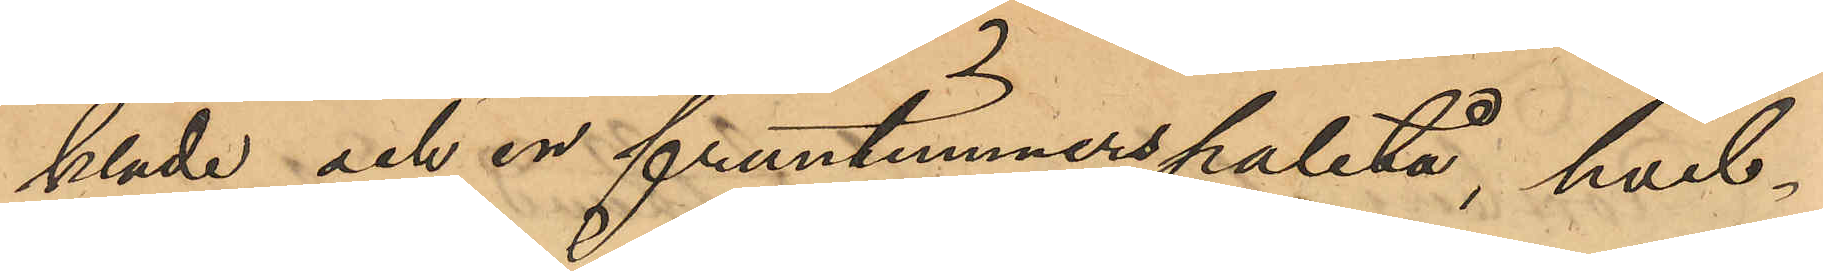kläde och en fruntimmerspaletå, hvil¬
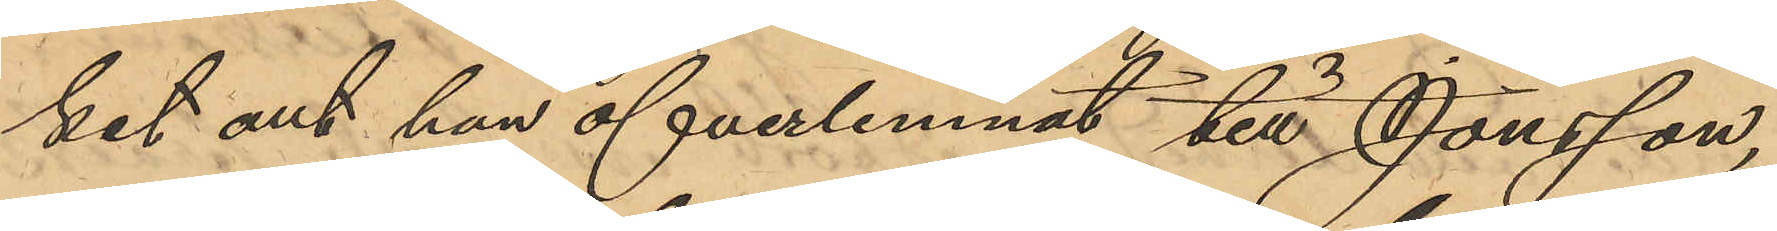ket allt han öfverlemnat till Jonsson,
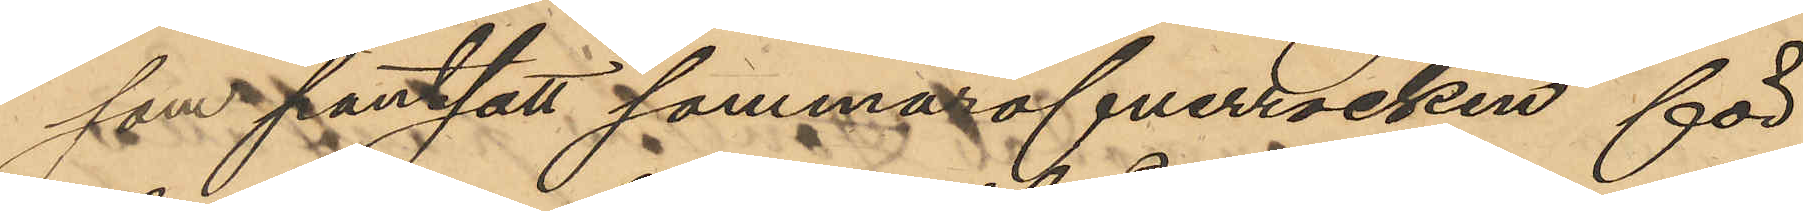som pantsatt sommaröfverrocken för
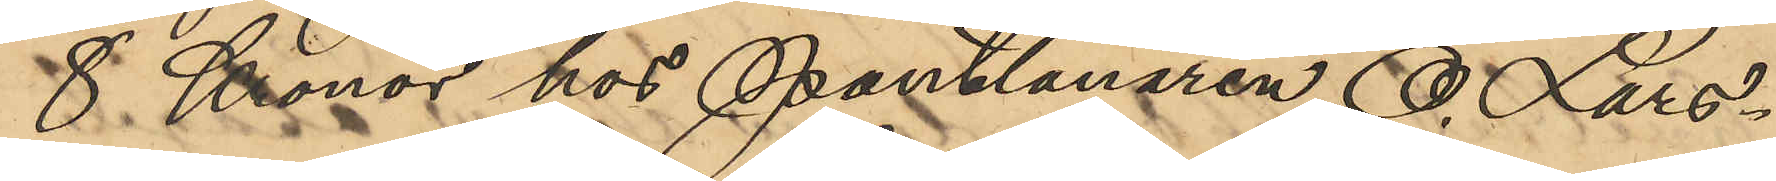8 Kronor hos Pantlånaren O. Lars¬
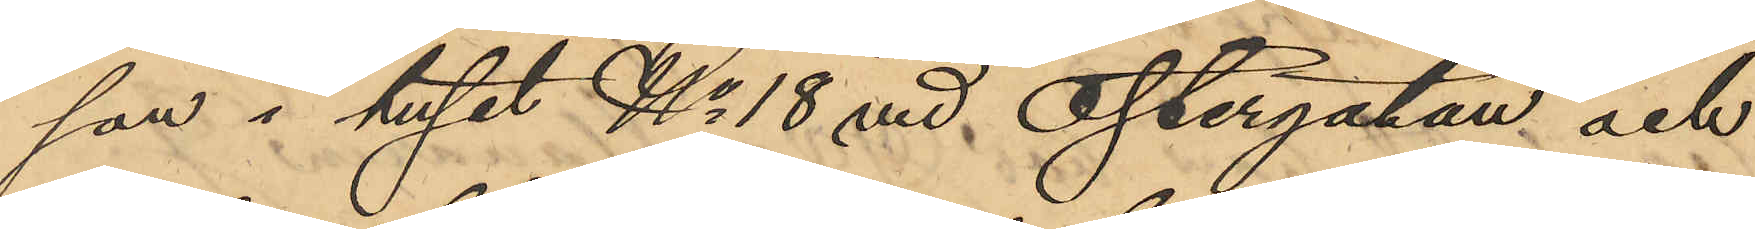son i huset No 18 vid Östergatan och
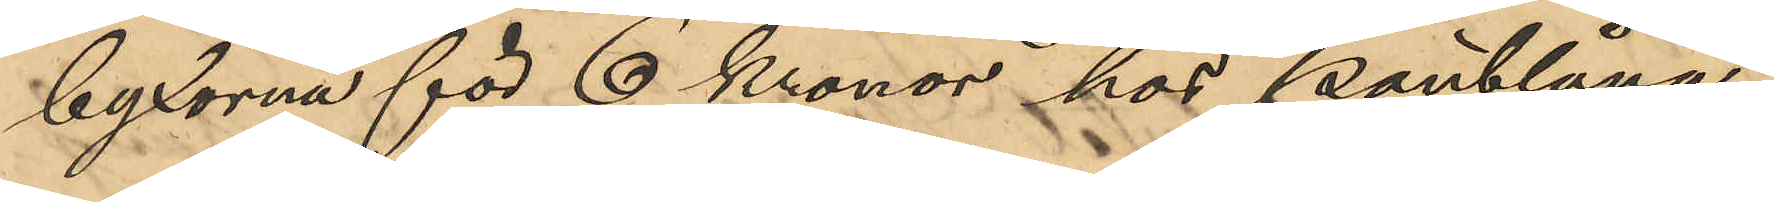byxorna för 6 Kronor hos pantlåna¬
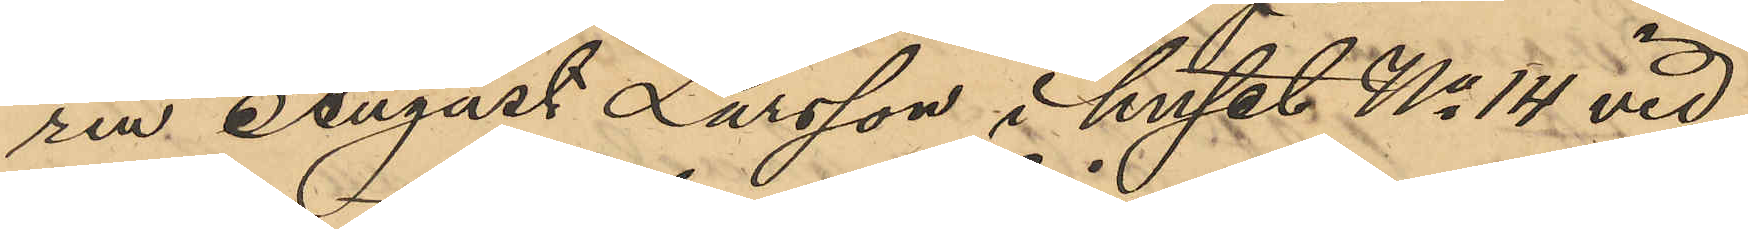ren August Larsson i huset No 14 vid
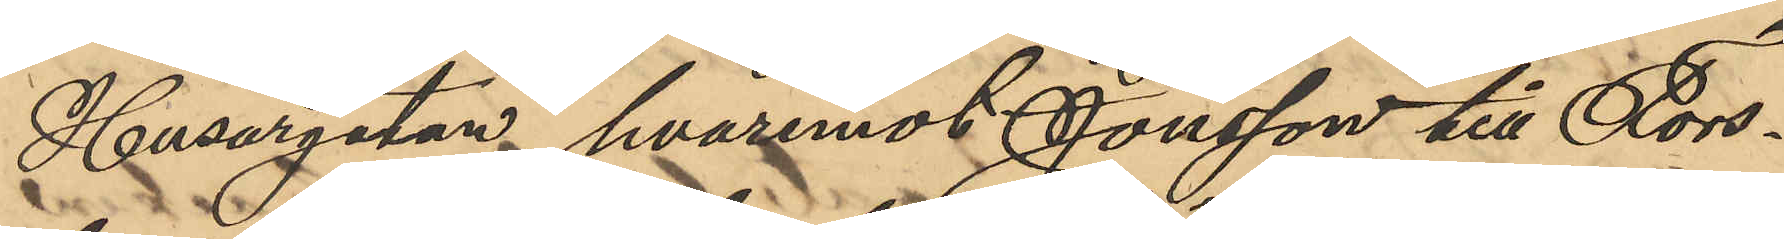Husargatan, hvaremot Jonsson till Fors¬
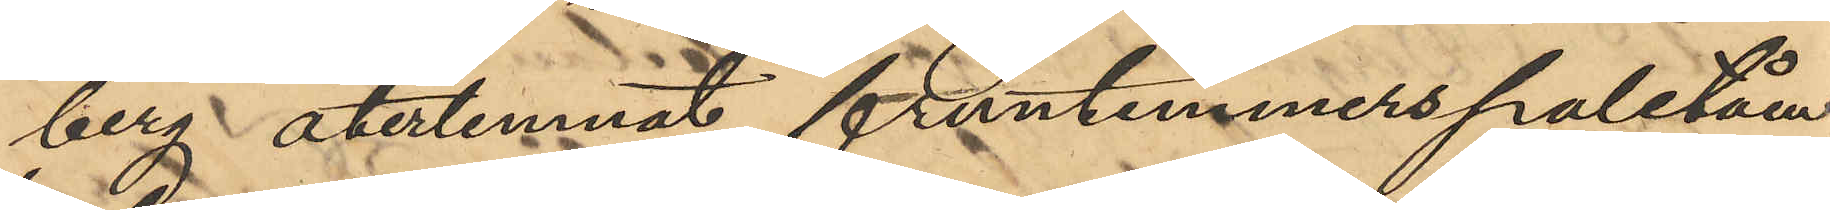berg återlemnat fruntimmerspaletån,
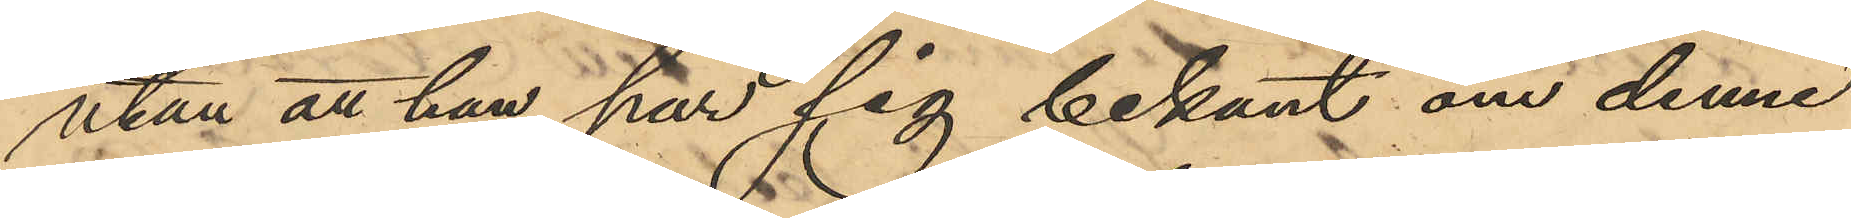utan att han har sig bekant om denne
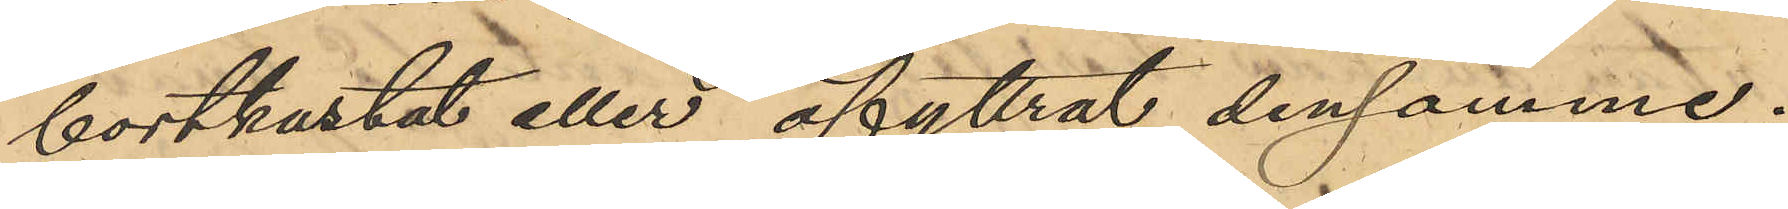bortkastat eller afyttrat densamme.
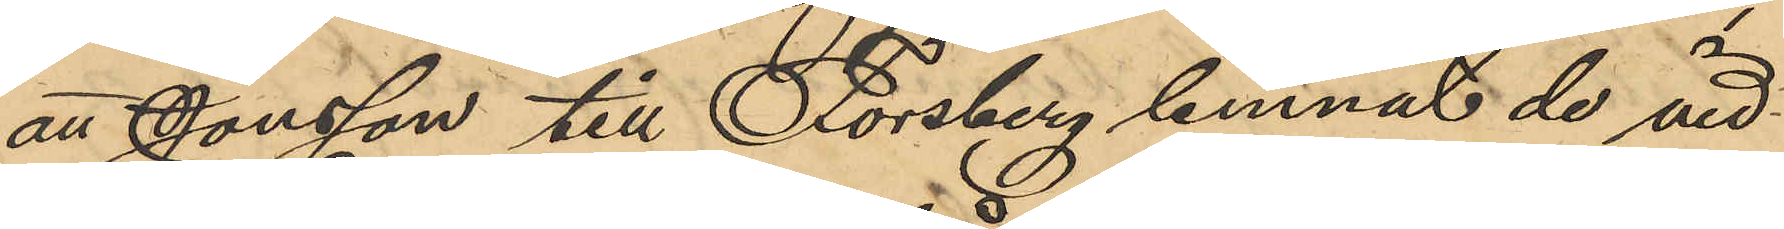att Jonsson till Forsberg lemnat de vid
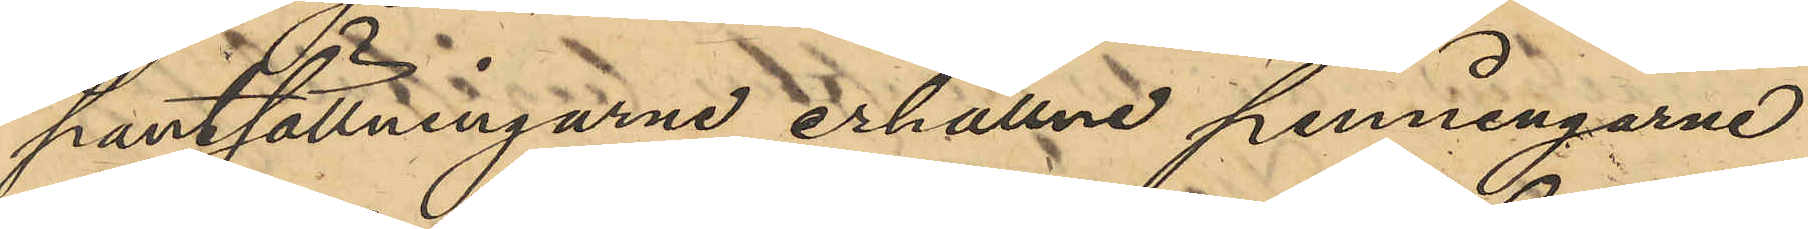pantsättningarne erhållne penningarne
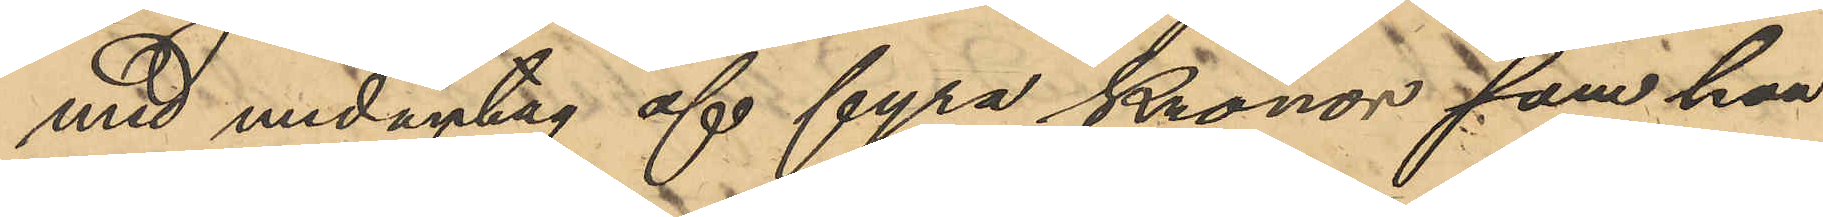med undagtag af fyra Kronor, som han
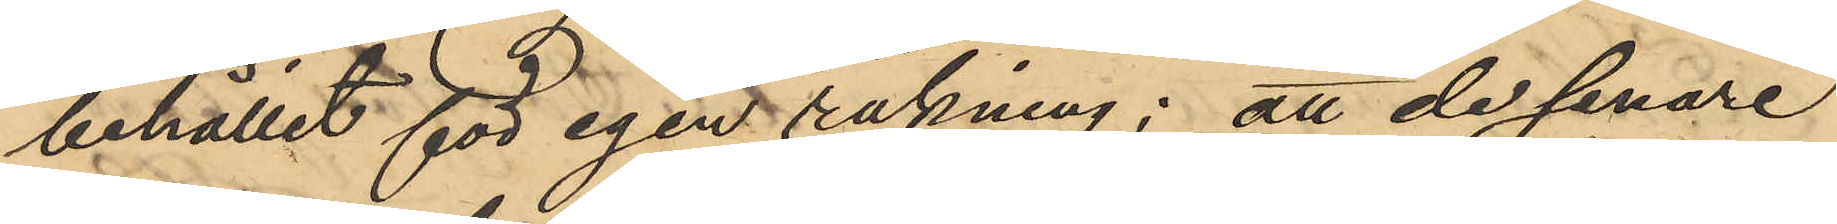behållit för egen räkning; att de senare
